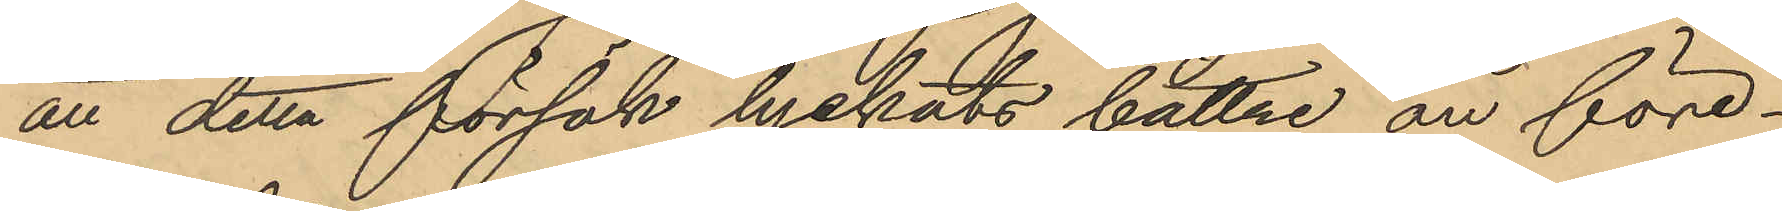att detta försök lyckats bättre än före¬
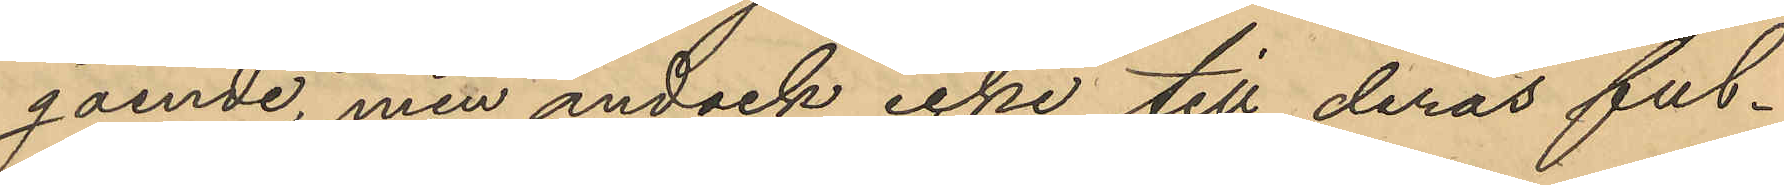gående, men ändock icke till deras ful¬
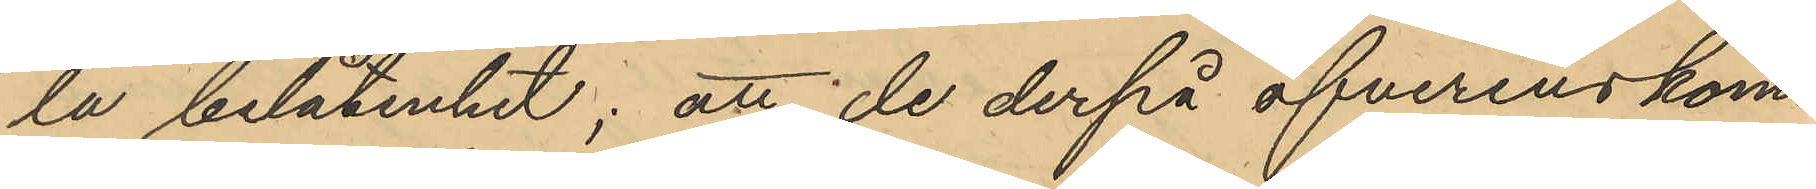la belåtenhet; att de derpå öfverenskom¬
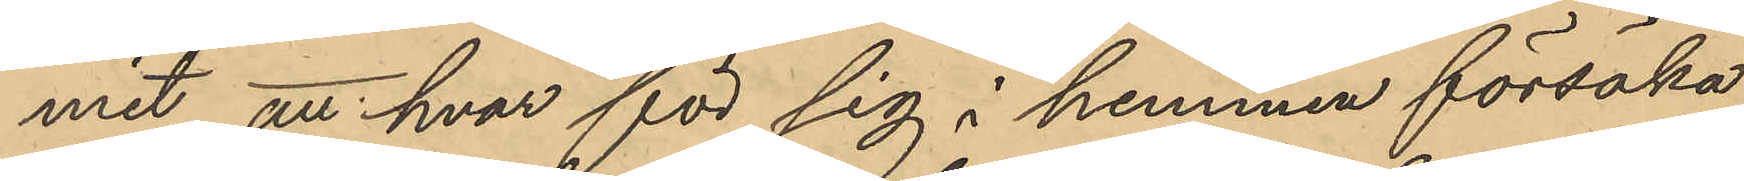mit att hvar för sig i hemmen försöka
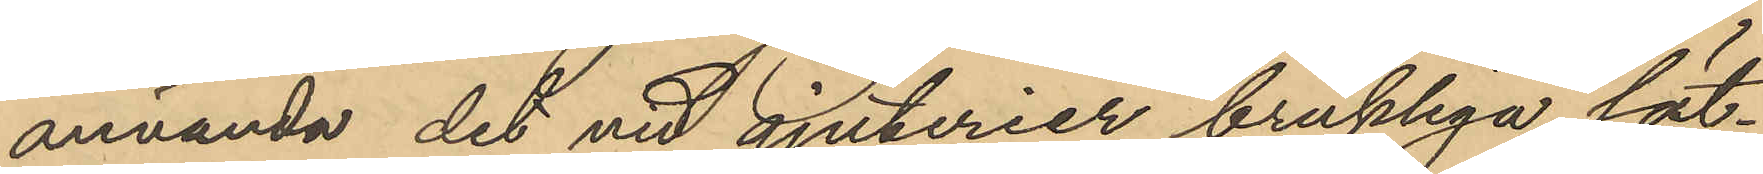använda det vid gjuterier brukliga sät¬
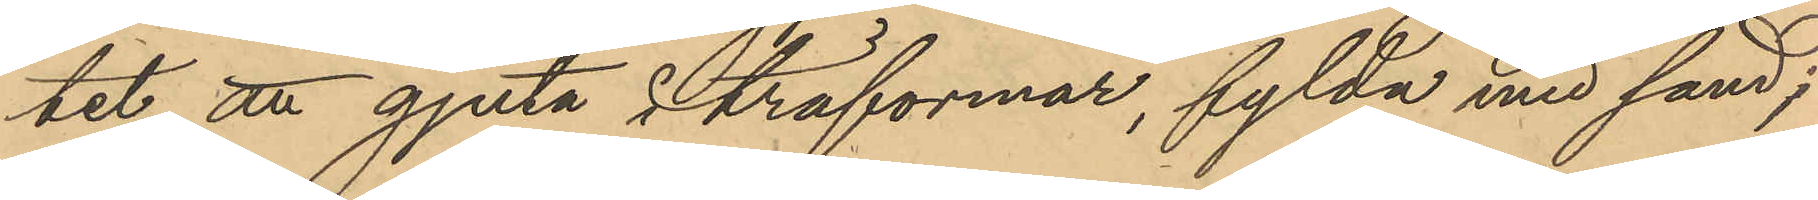tet att gjuta i träformar, fylda med sand;
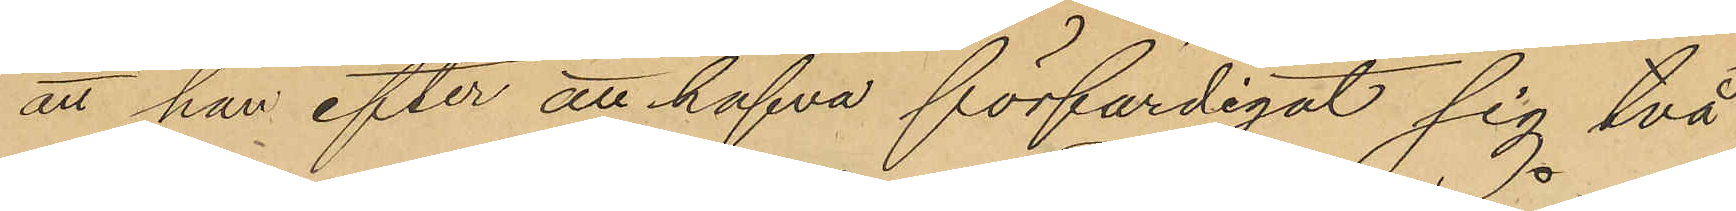att han efter att hafva förfärdigat sig två
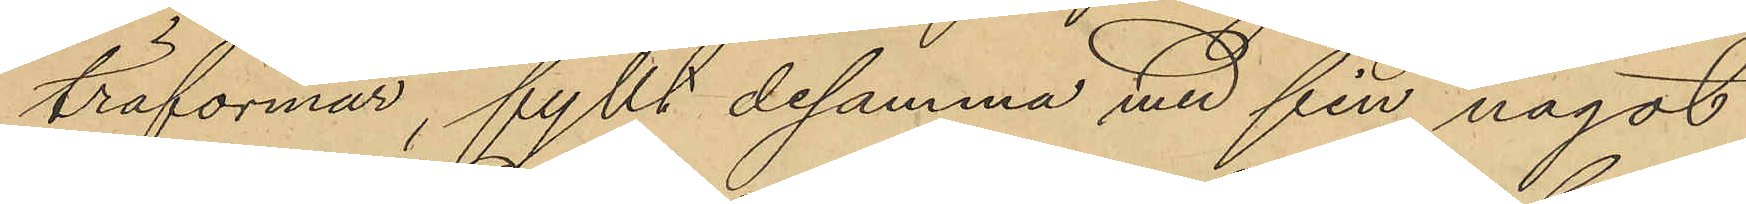träformar, fyllt desamma med fin, något
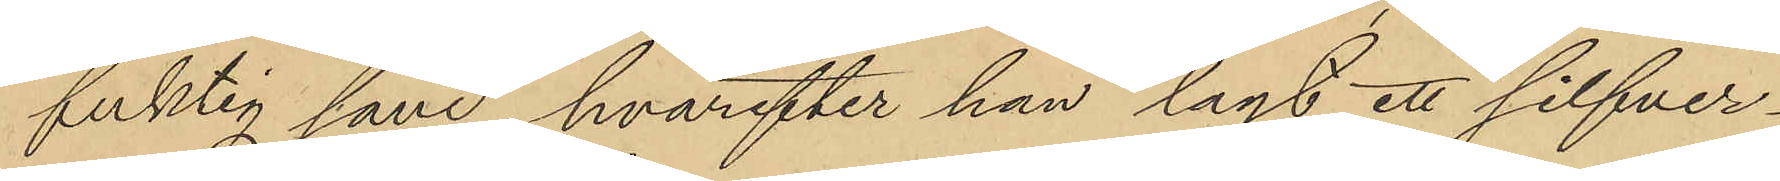fuktig sand, hvarefter han lagt ett silfver¬
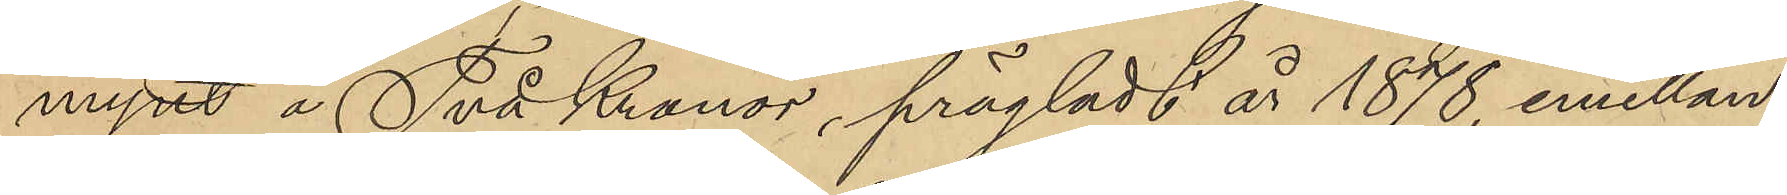mynt å Två Kronor, prägladt år 1878, emellan
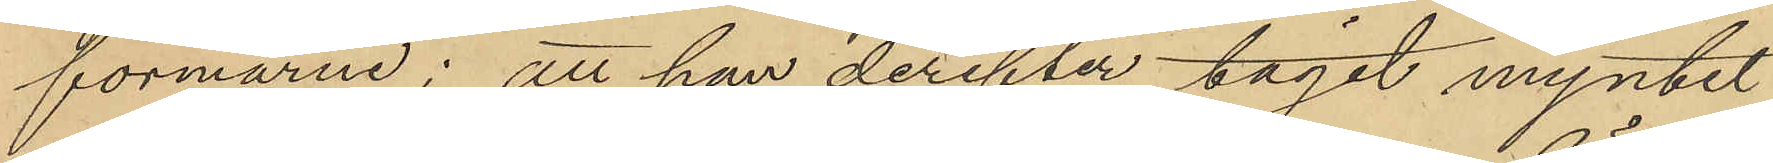formarna; att han derefter tagit myntet
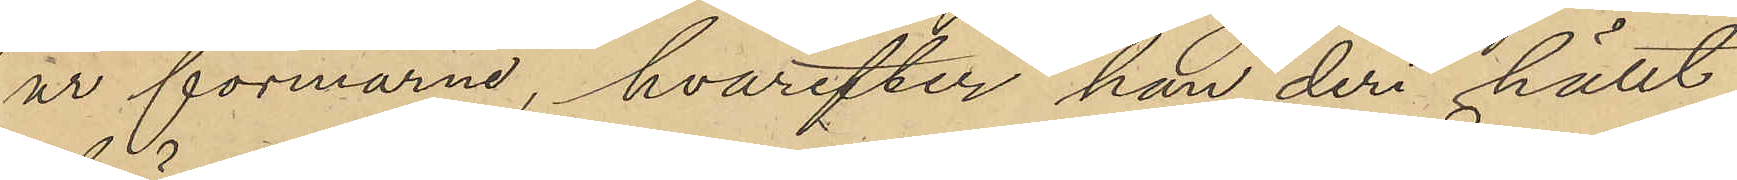ur formarna, hvarefter han deri hällt
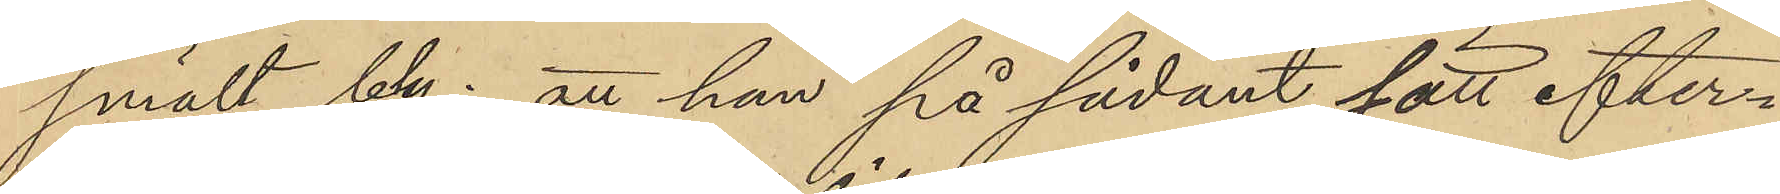smält bly; att han på sådant sätt efter¬
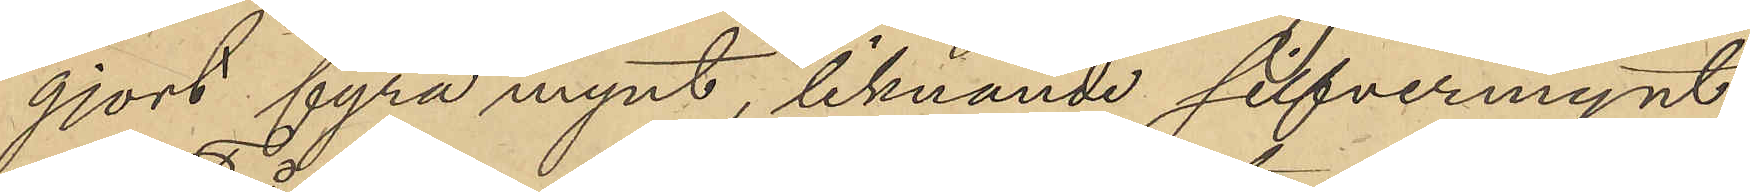gjort fyra mynt, liknande silfvermynt
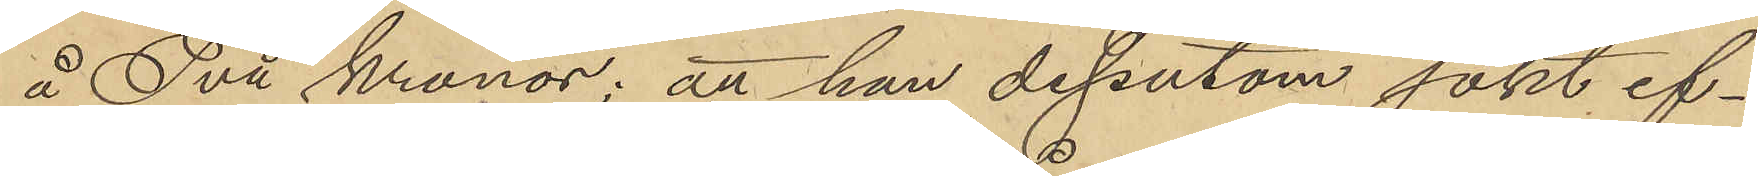å Två Kronor; att han dessutom sökt ef¬
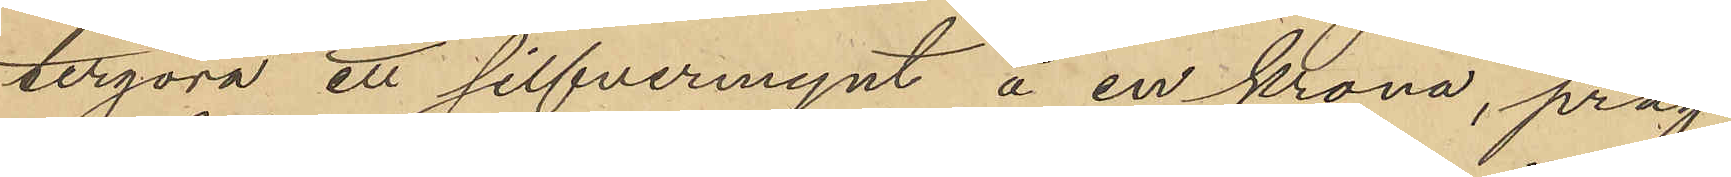tergöra ett silfvermynt å en krona, präg¬
